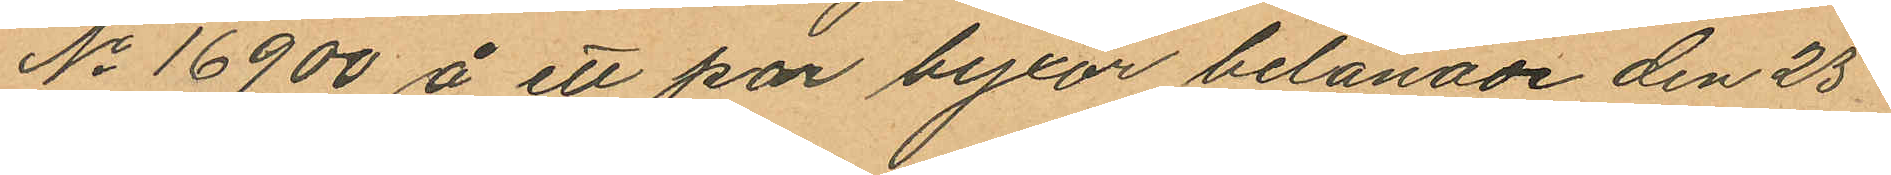No 16900 å ett par byxor belånade den 25
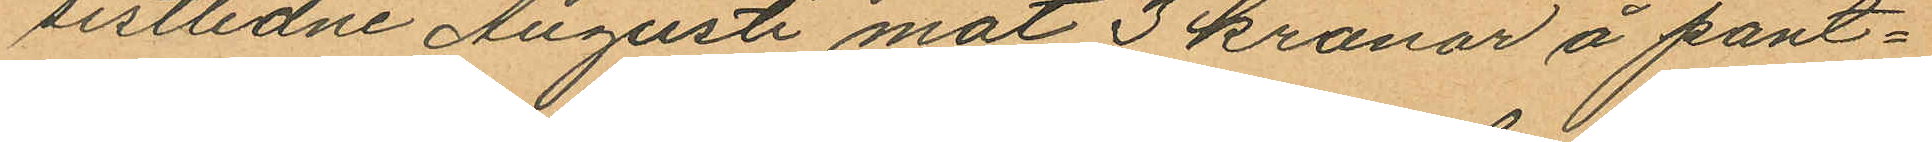sistlidne Augusti mot 3 kronor å pant¬
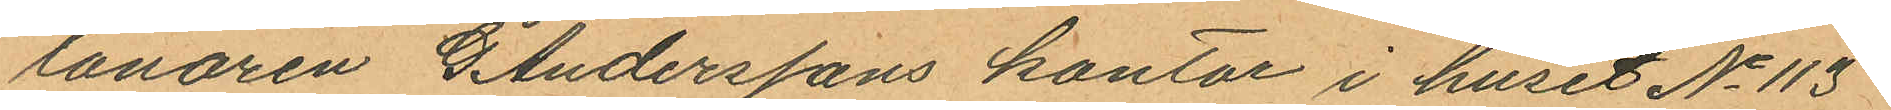lånaren G Anderssons kontor i huset No 113
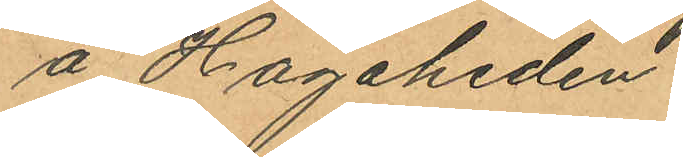å Hagaheden.
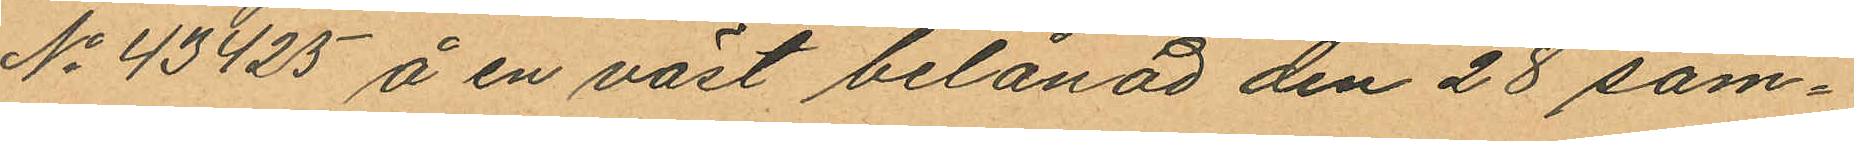No 43425 å en väst belånad den 28 sam¬
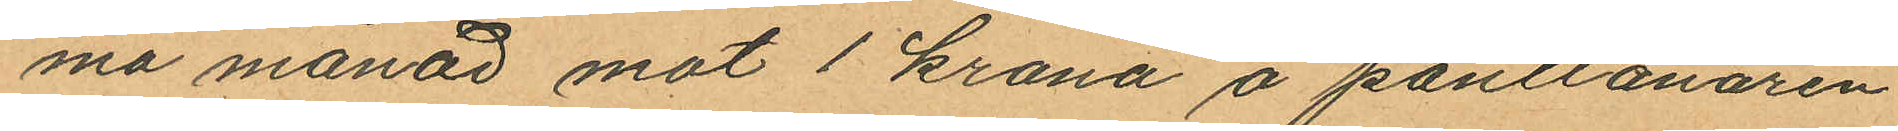ma månad mot 1 krona å pantlånaren
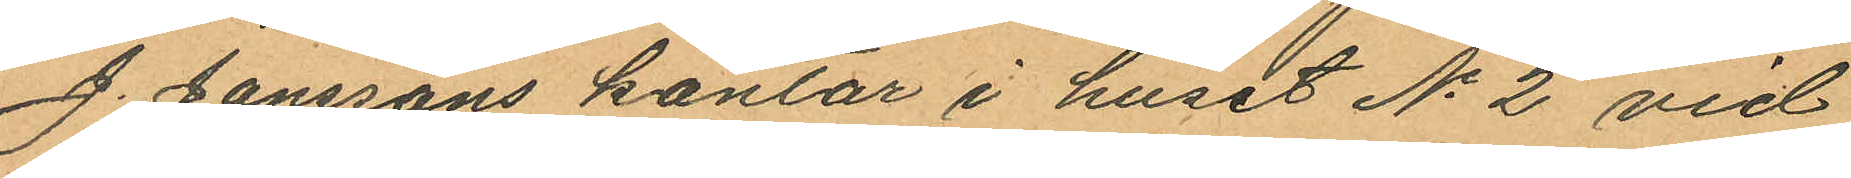J. Janssons kontor i huset No 2 vid
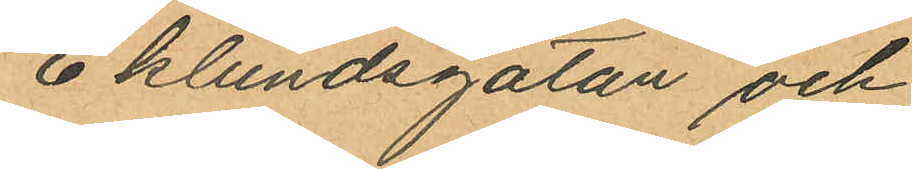Eklundsgatan och
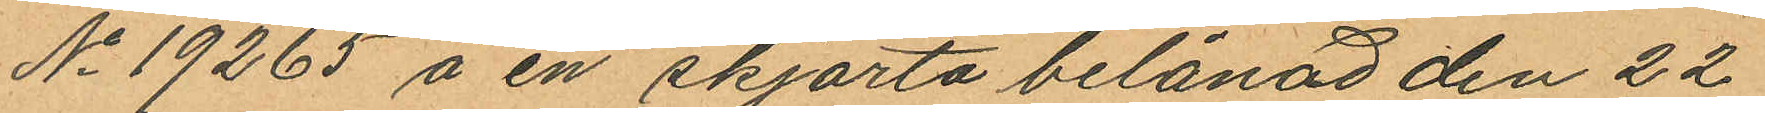No 19265 å en skjorta belånad den 22
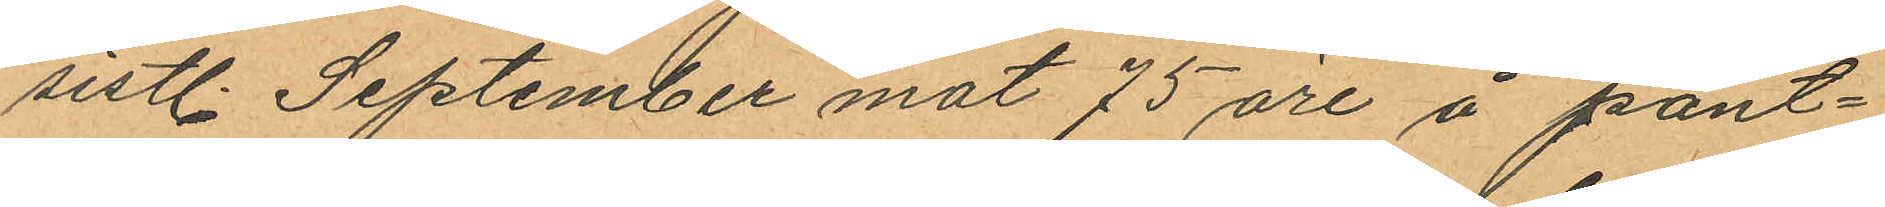sistl. September mot 75 öre å pant¬
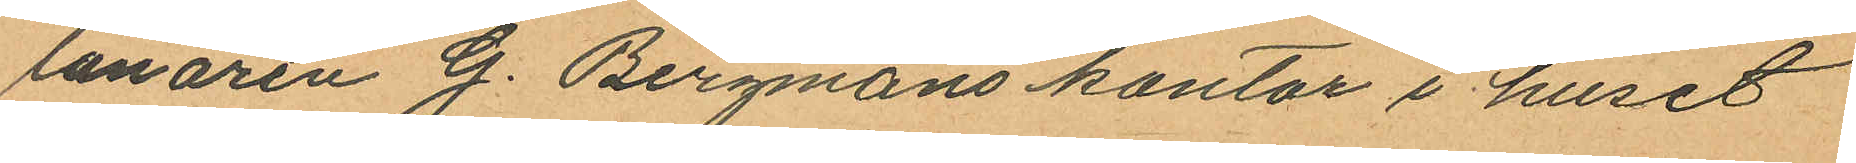lånaren G. Bergmans kontor i huset
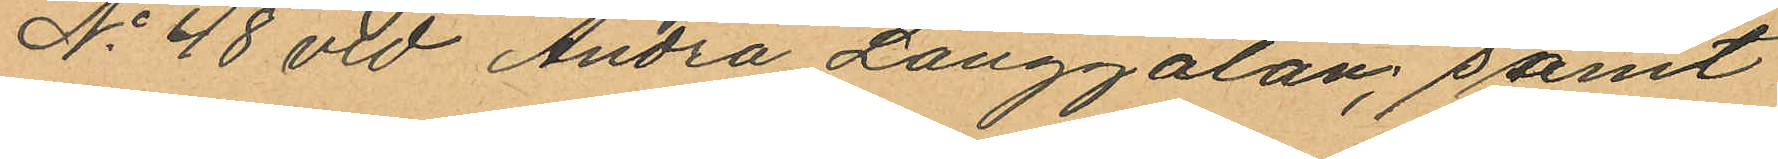No 48 vid Andra Långgatan, samt
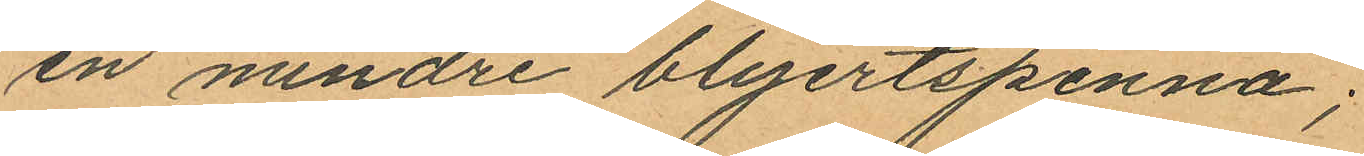en mindre blyertspenna;
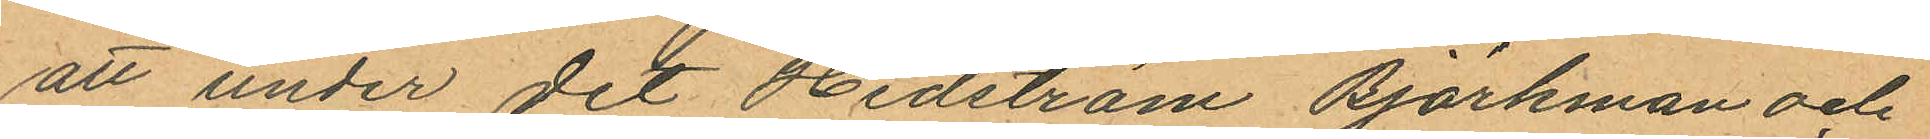att under det Hedström Björkman och
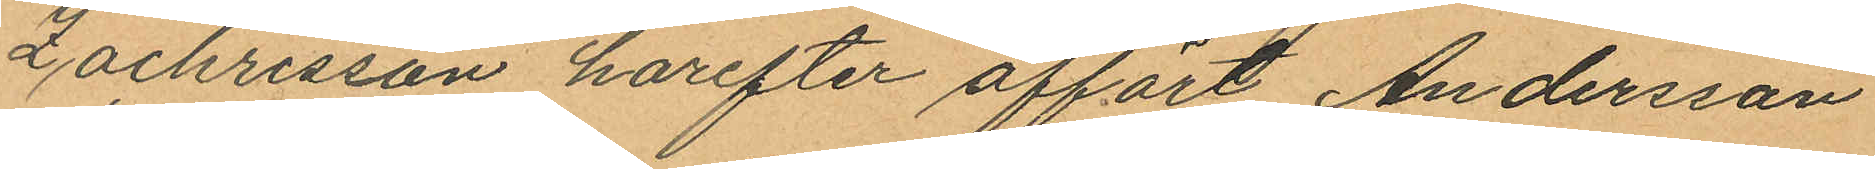Zachrisson harefter affört Andersson
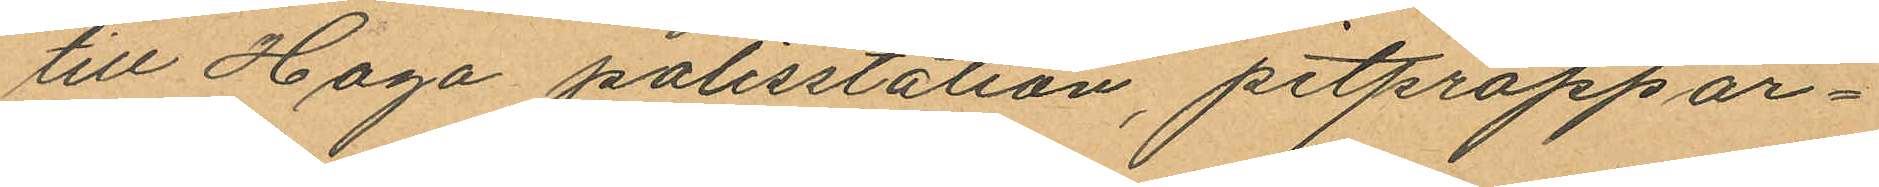till Haga polisstation, pitproppar¬
